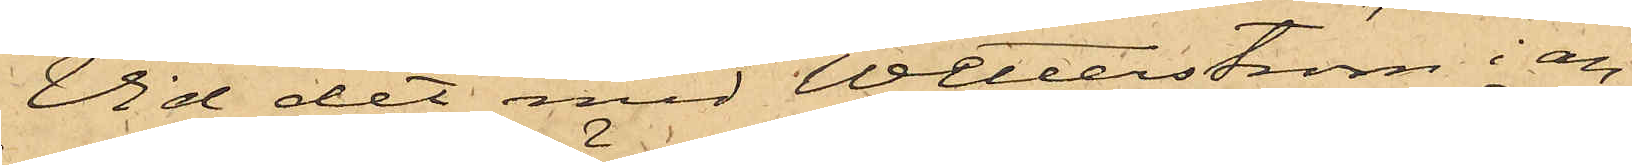Vid det med Wetterström i an¬
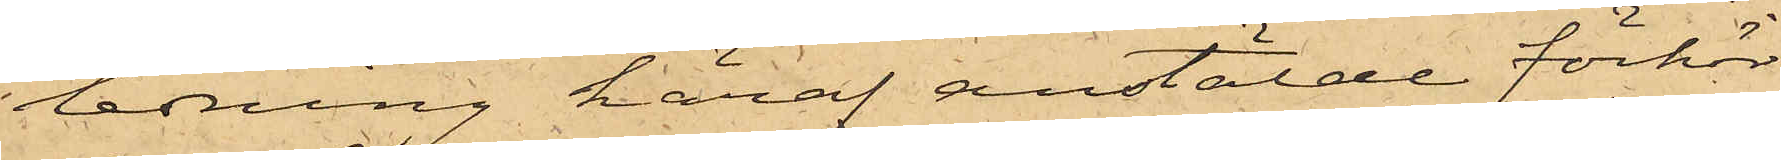ledning häraf anstälde förhör
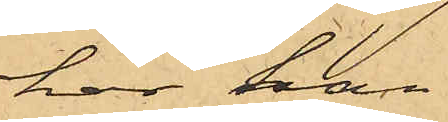har han 
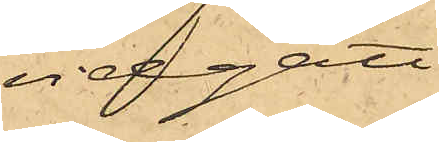vidgått
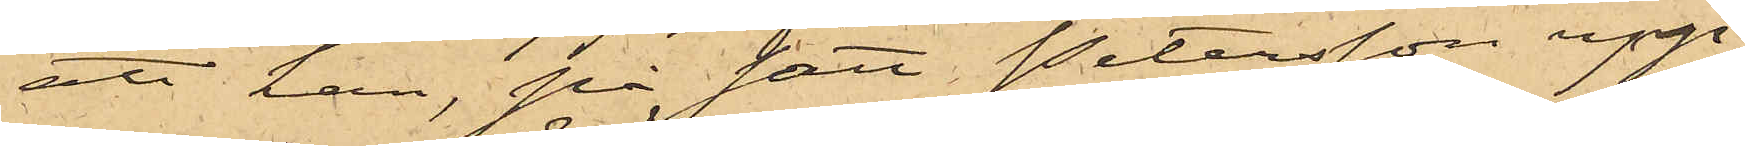att han, på sätt Petersson upp¬
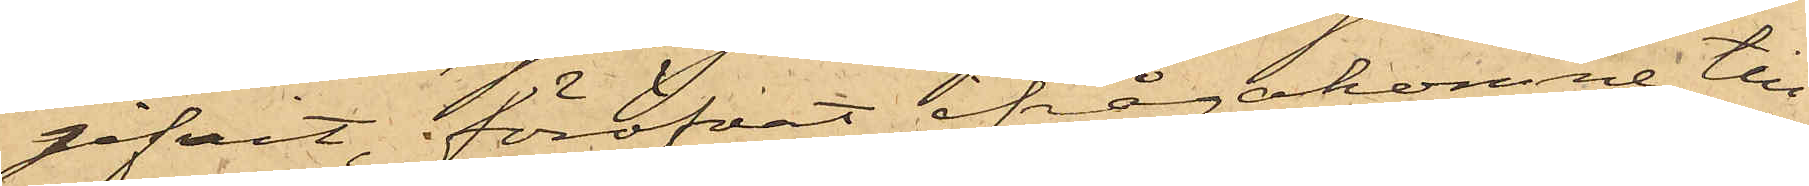gifvit, föröfvat ifrågakomne till¬
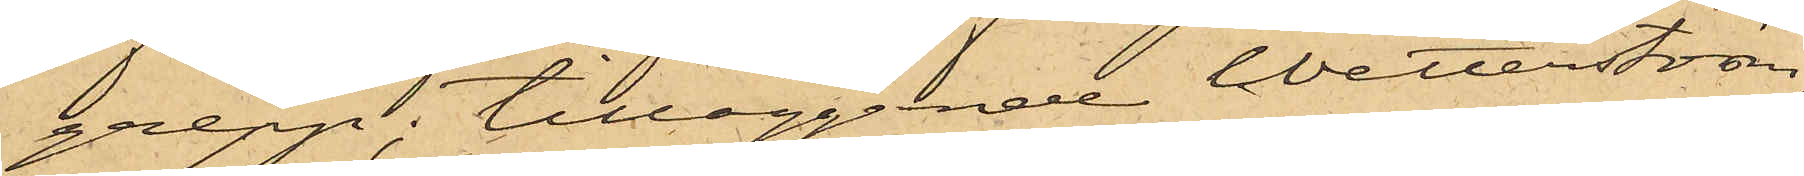grepp; tilläggande Wetterström,
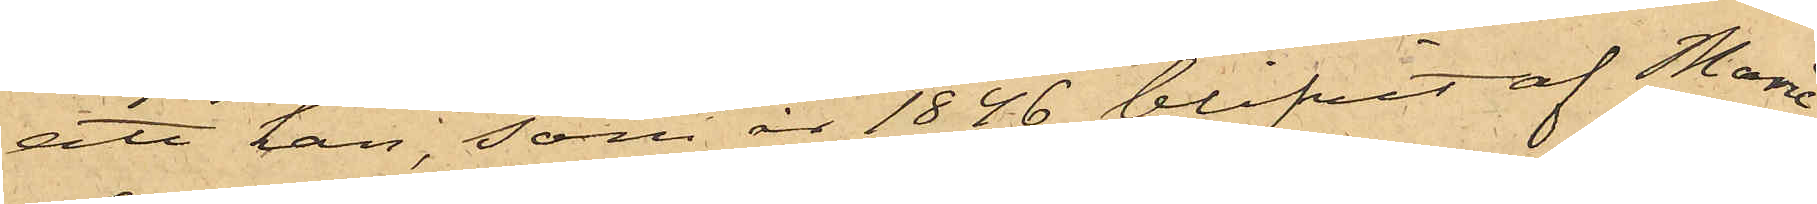att han, som år 1846 blifvit af Marie¬
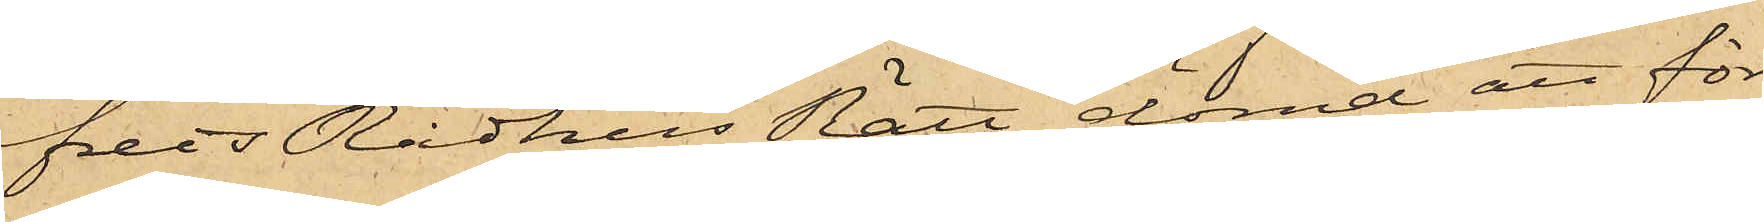freds Rådhus Rätt dömd att för
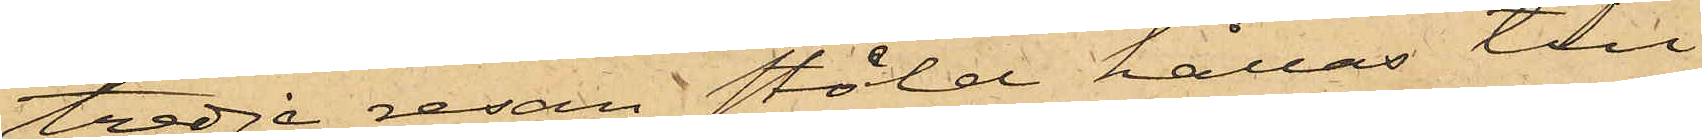tredje resan stöld hållas till
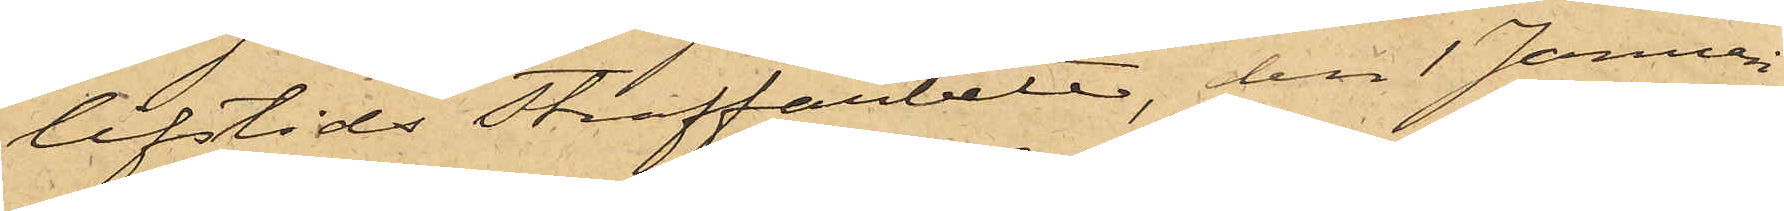lifstids Straffarbete, den 1 Januari
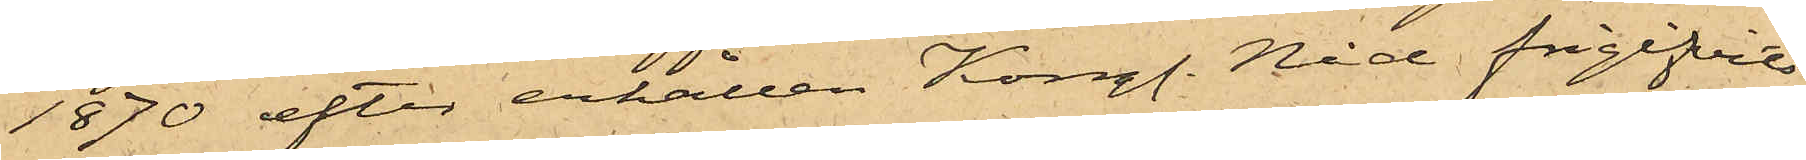1870 efter erhållen Kongl. Nåd frigifvits
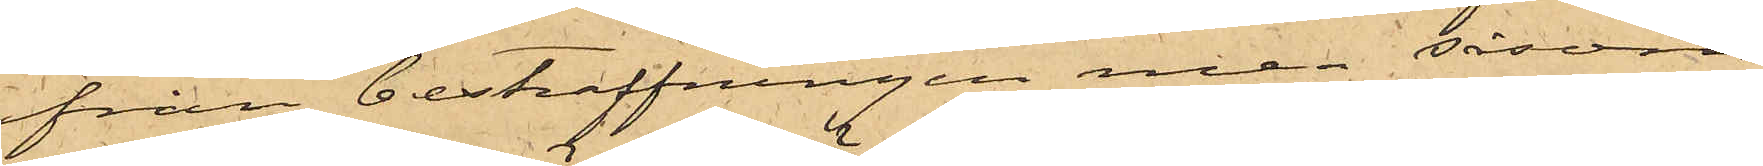från bestraffningen men såsom
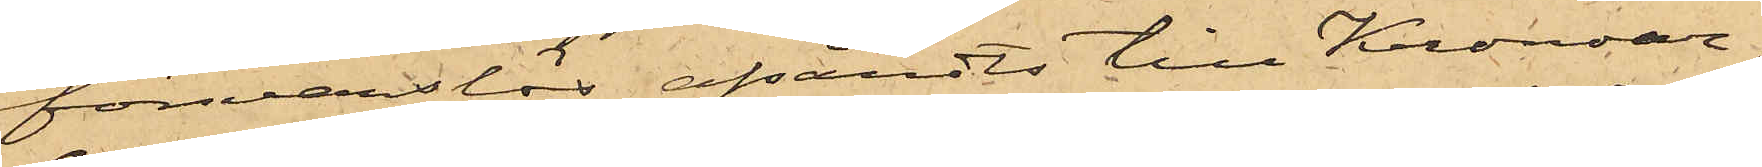försvarslös afsändts till Kronoar¬
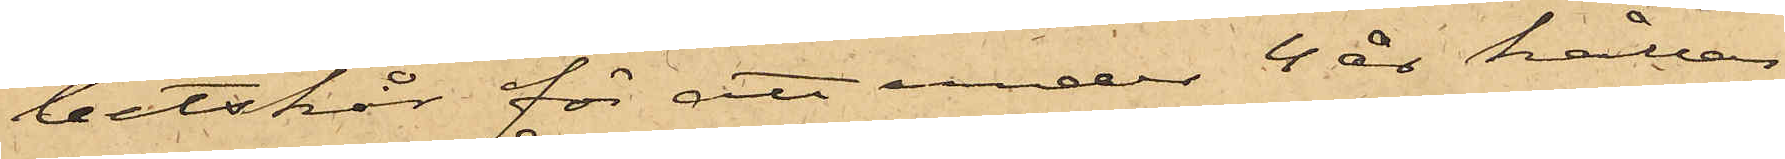betskår för att under 4 år hållas
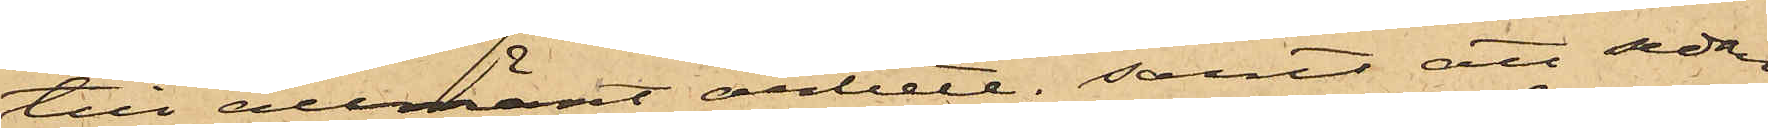till allmänt arbete; samt att sedan
